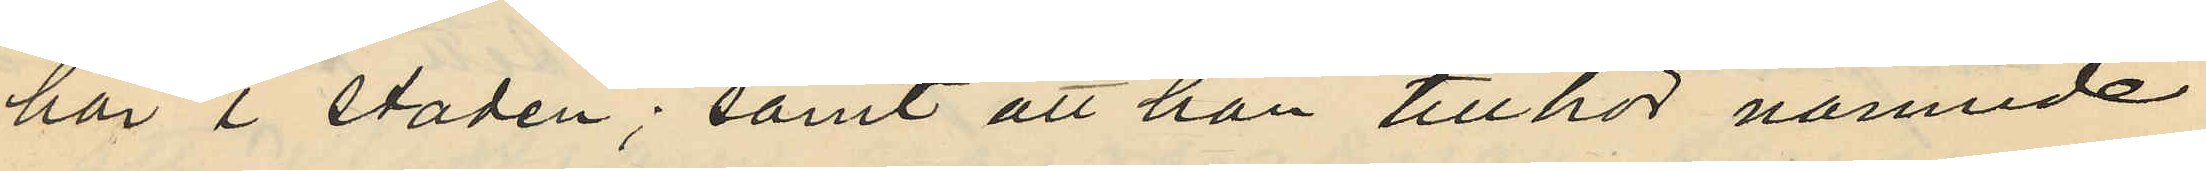här i staden; samt att han tillhör nämnde
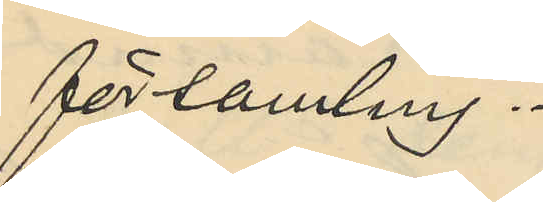församling.
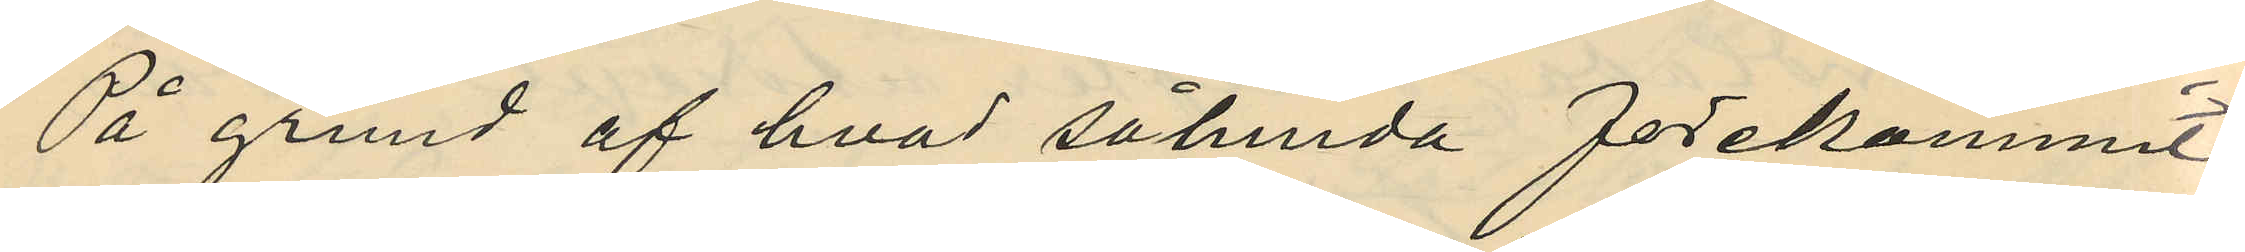På grund af hvad sålunda förekommit,
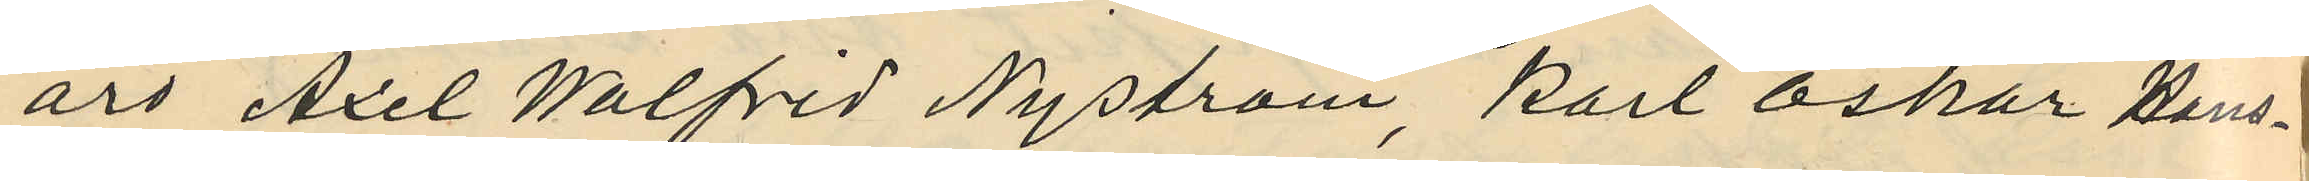äro Axel Walfred Nyström, Karl Oskar Hans¬
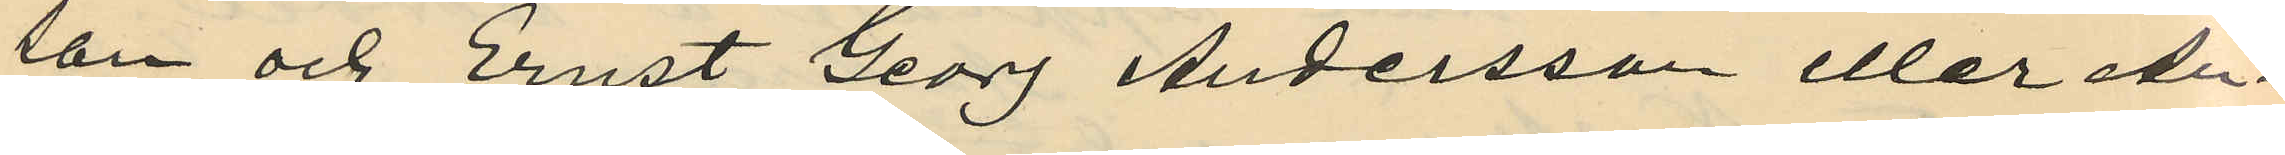son och Ernst Georg Andersson eller An¬
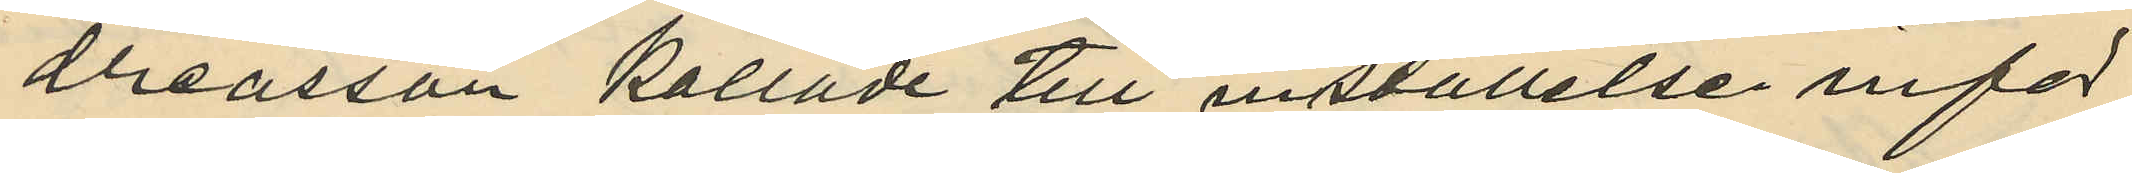dreasson kallade till inställelse inför
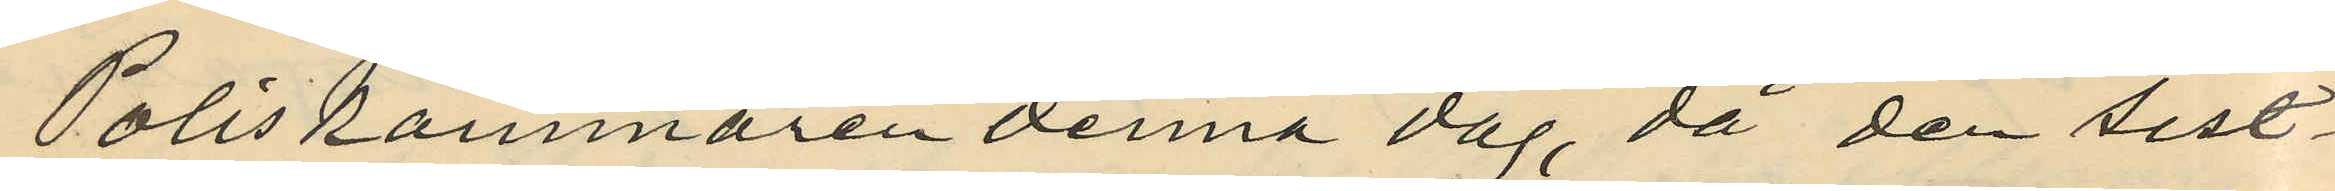Poliskammaren denna dag, då den sist¬
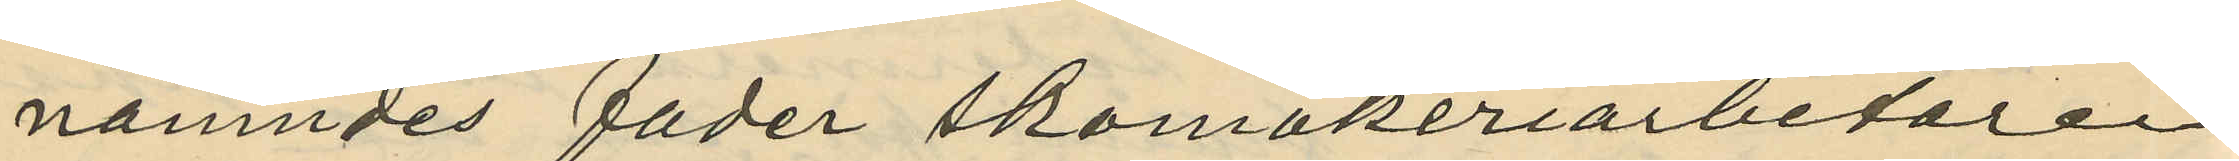nämndes fader skomakeriarbetaren
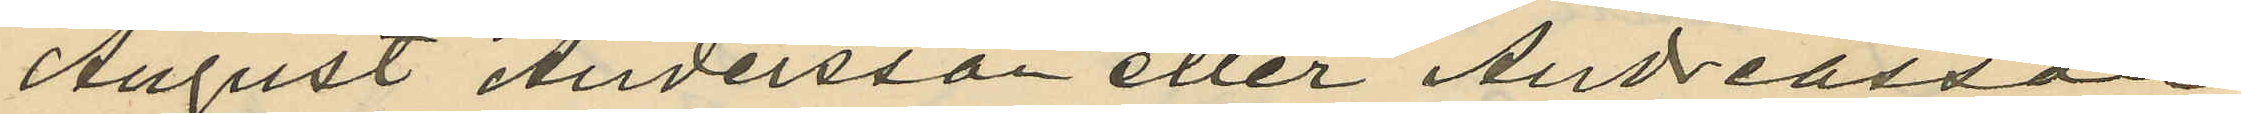August Andersson eller Andreasson
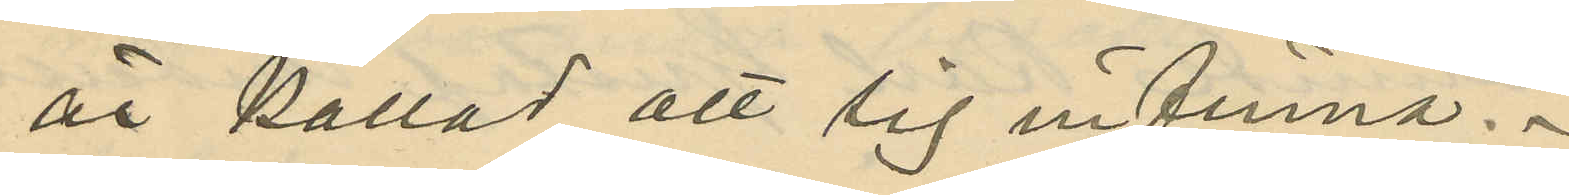är kallad att sig infinna.
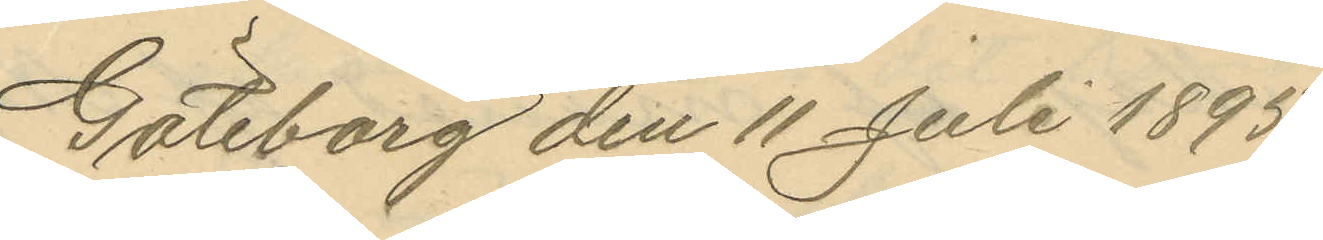Göteborg den 11 Juli 1895.
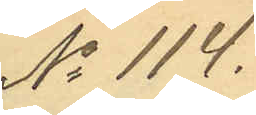No 114.
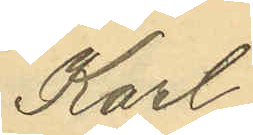Karl
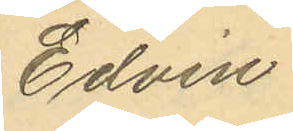Edvin
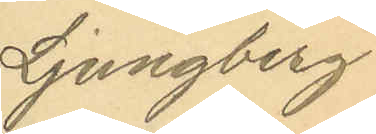Ljungberg
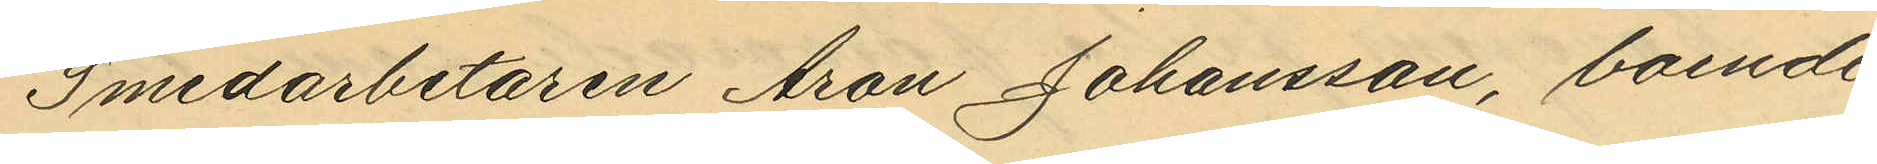Smedarbetaren Aron Johansson, boende
